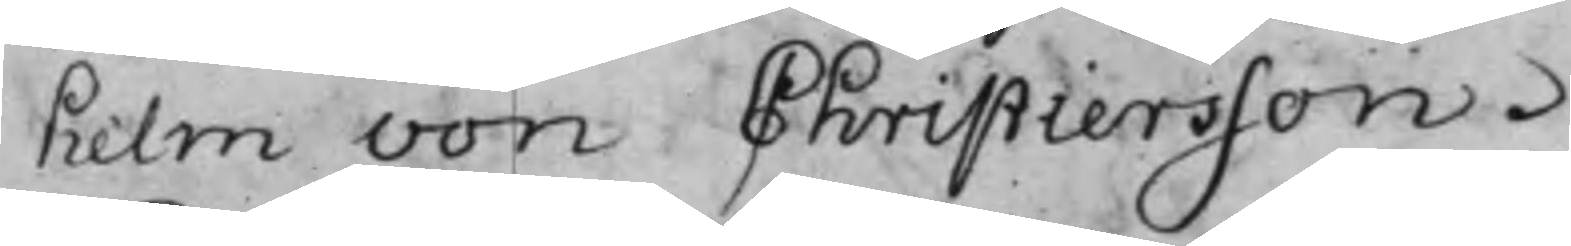helm von Christiersson.
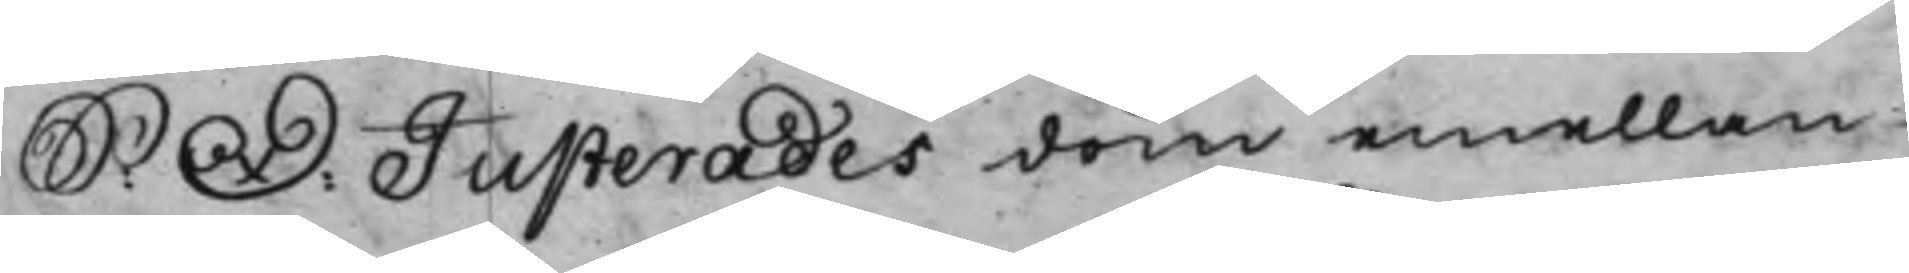S: D: Justerades dom emellan
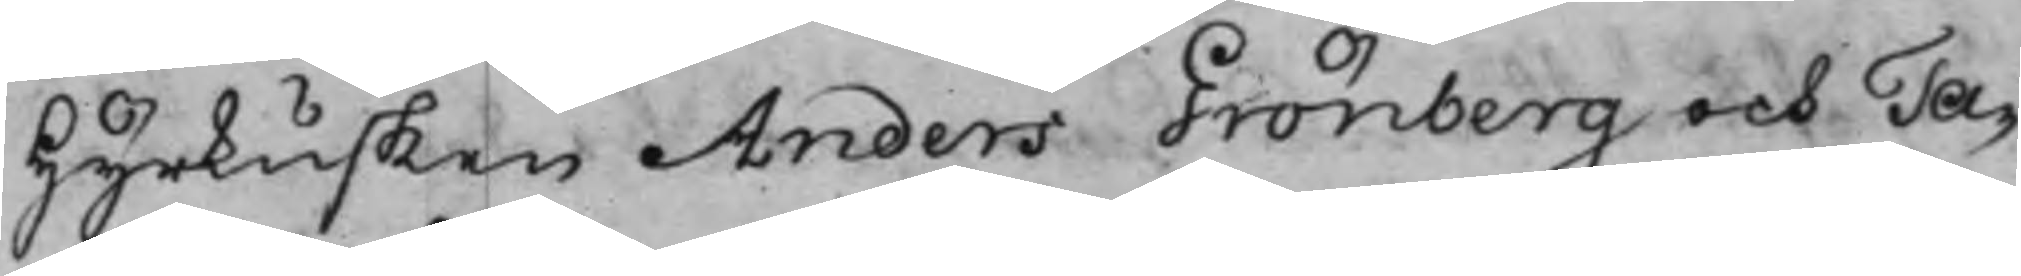Hyrkusken Anders Grönberg och Ta¬
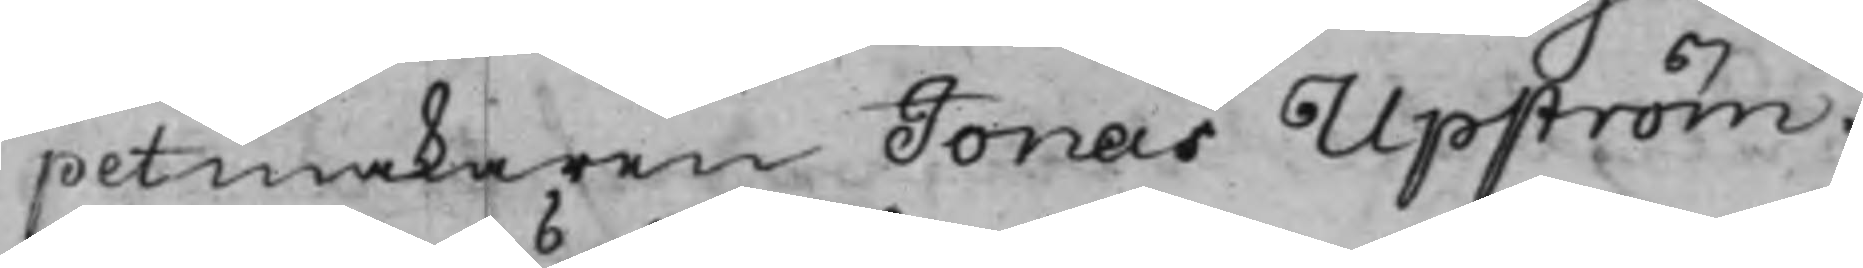petmakaren Jonas Upström.
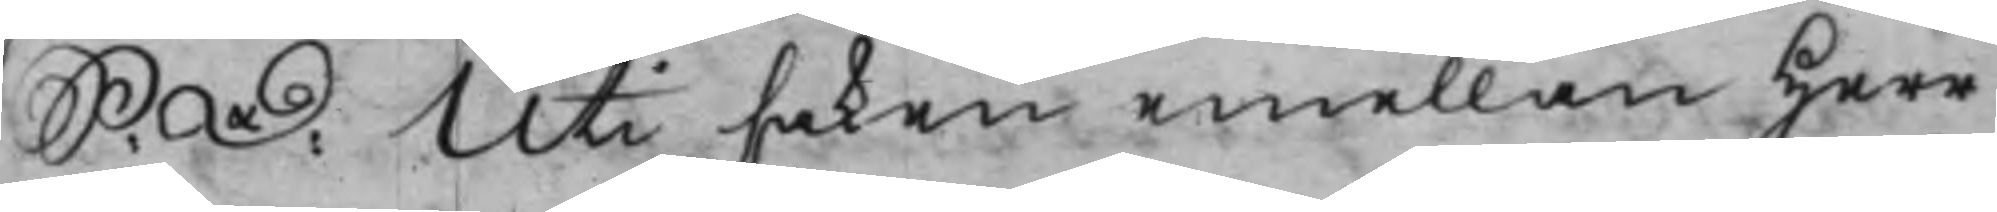S: D: Uti saken emellan Herr
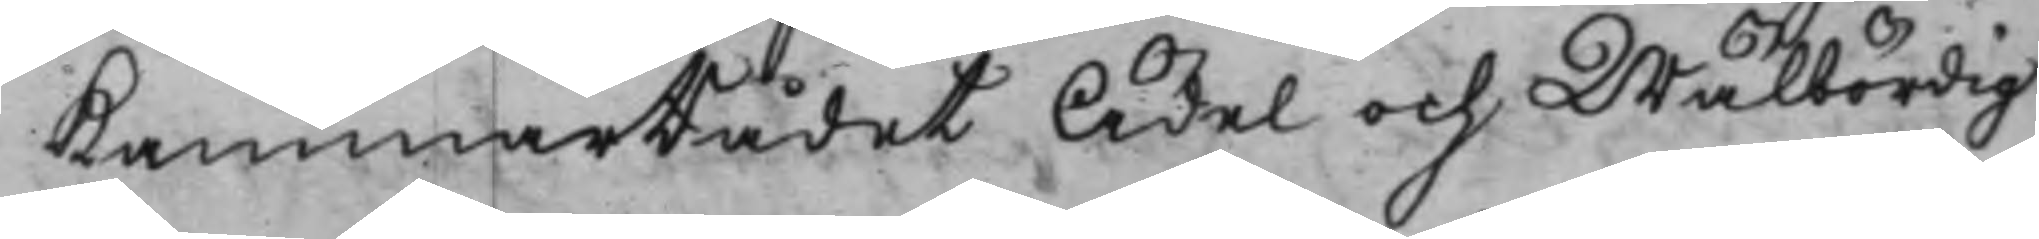KammarRådet Ädel och Wälbördig
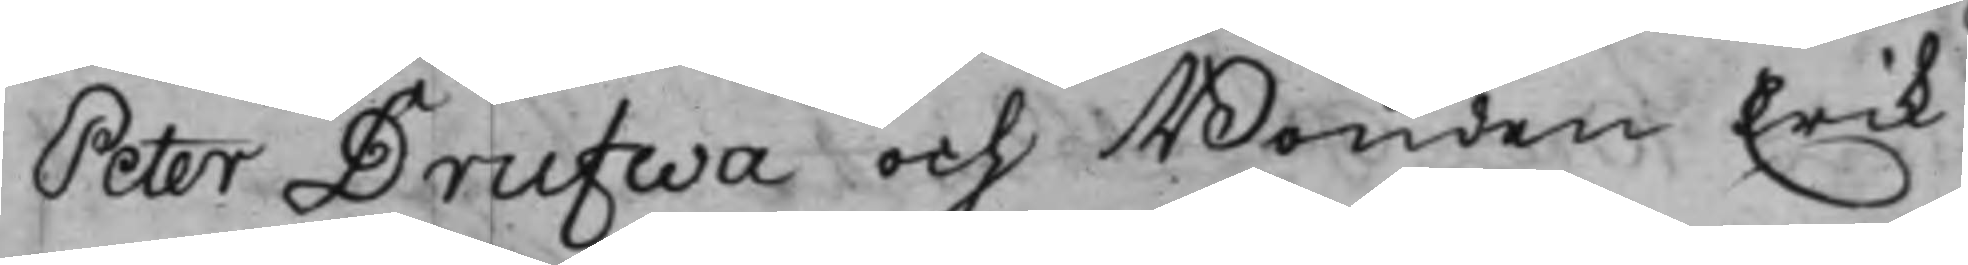Peter Drufwa och Bonden Erik
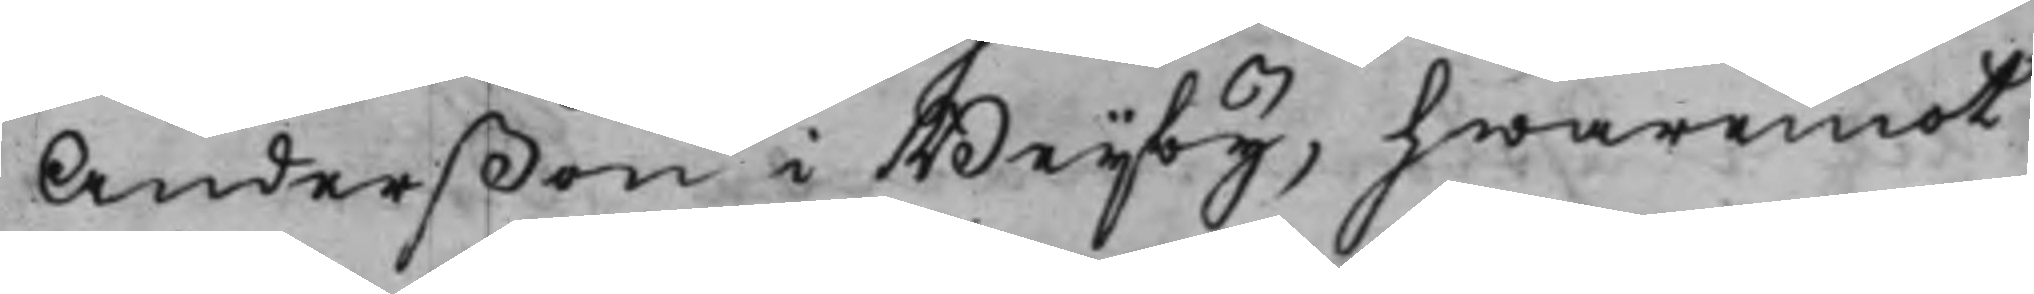Anderßon i Beijby, hwaremot
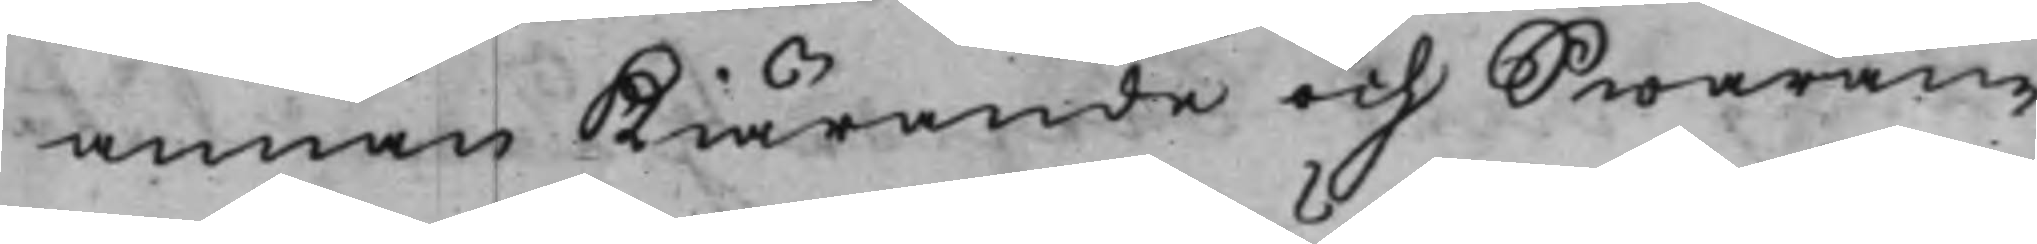annan Kiärande och Swaran¬
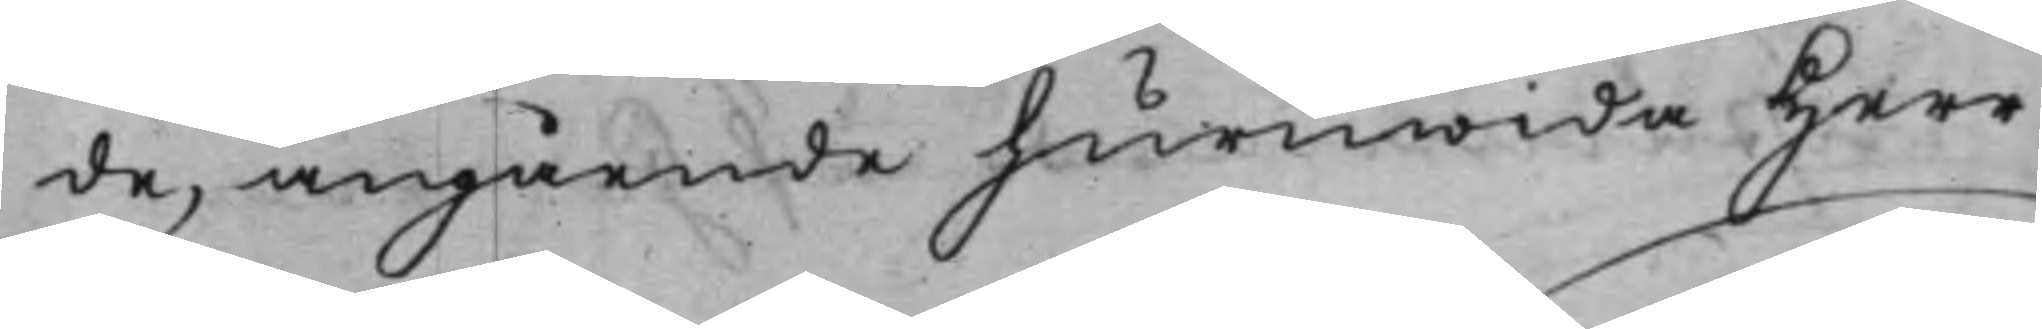de, angående huruwida Herr
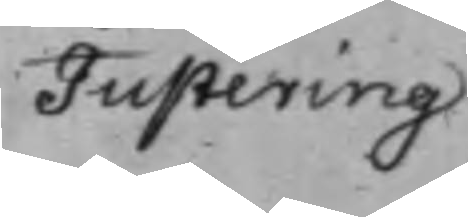Justering
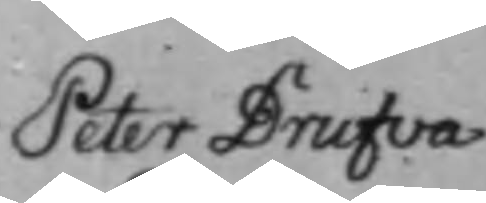Peter Drufva
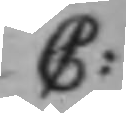C:
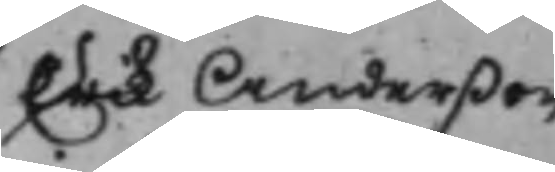Erik Anderßon
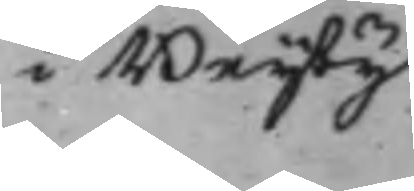i Beijby
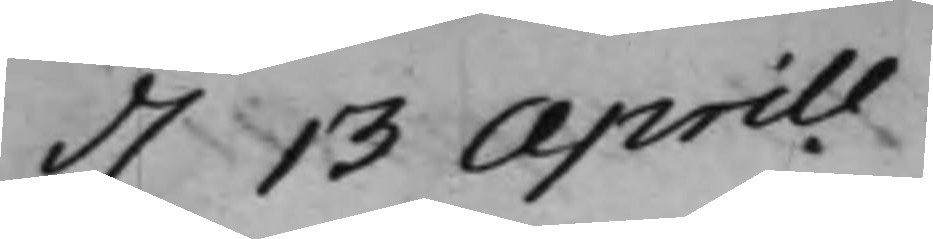d. 13 Aprill
